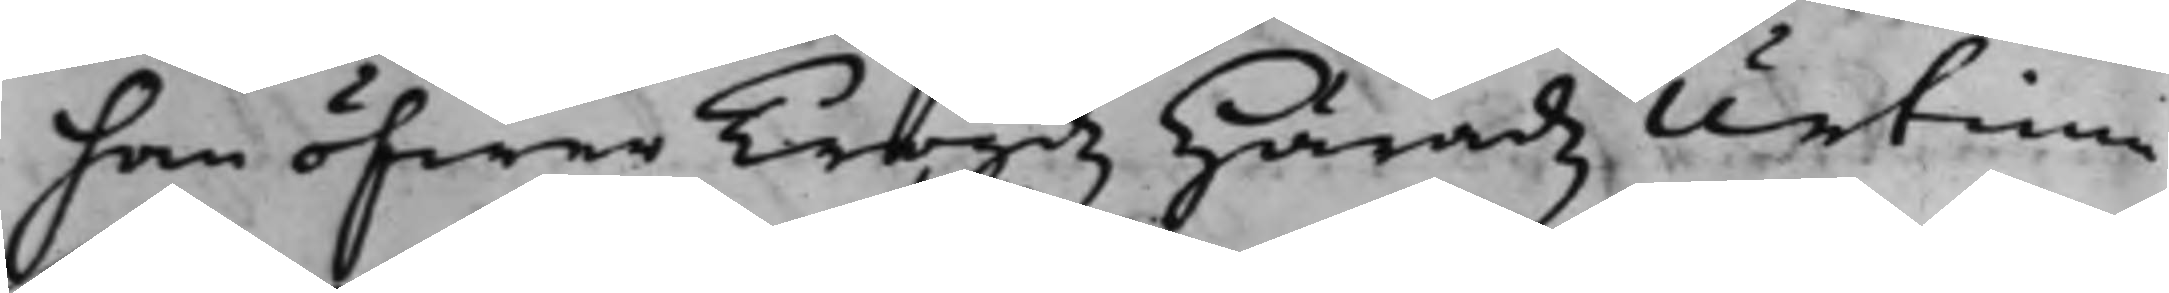han öfwer Trögdz Häradz Urtima
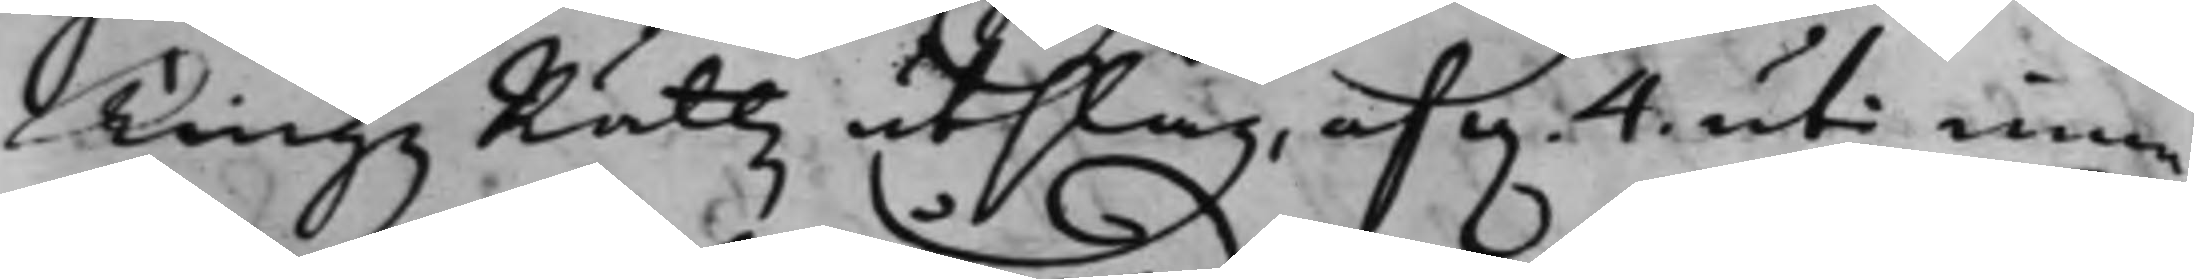TingzRättz utslag, af d. 4. uti inne¬
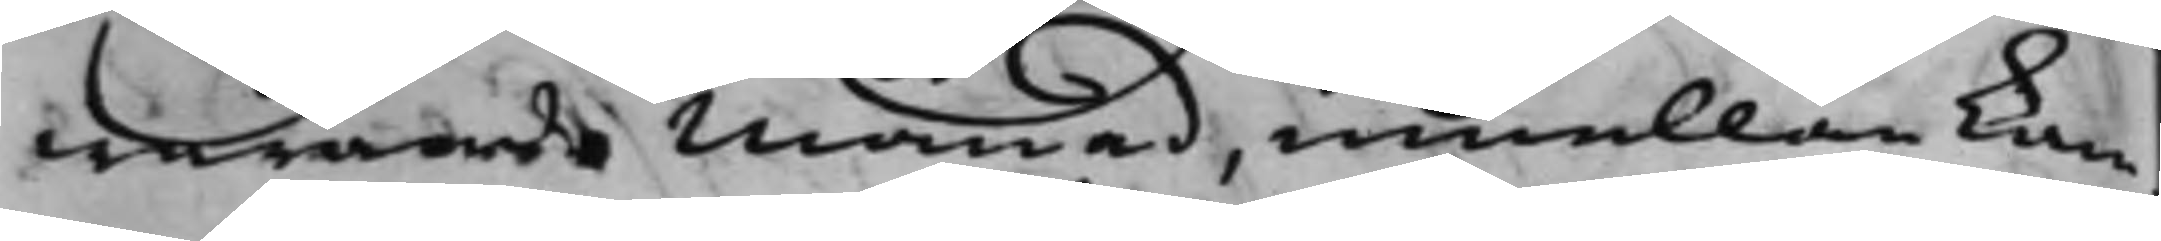warande Månad, emellan kam¬
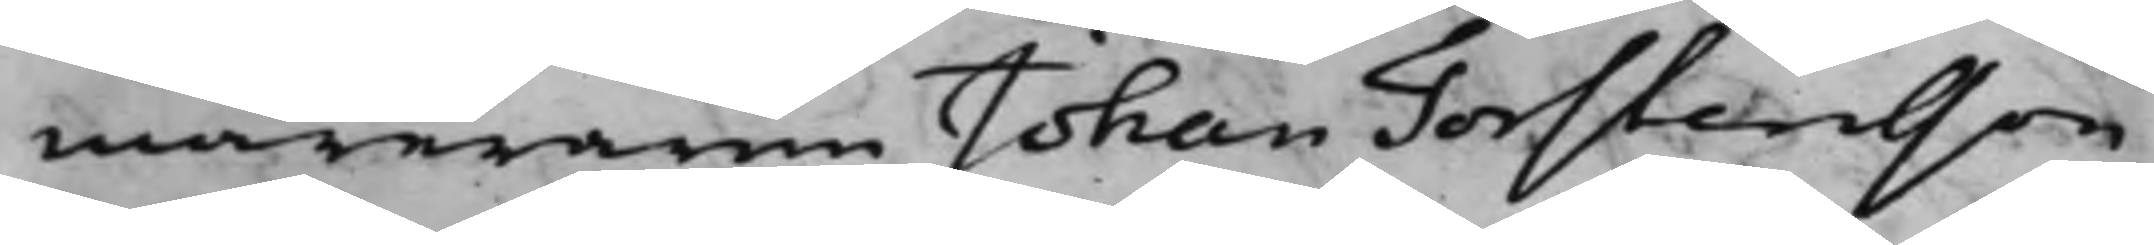mareraren Johan Torstensson
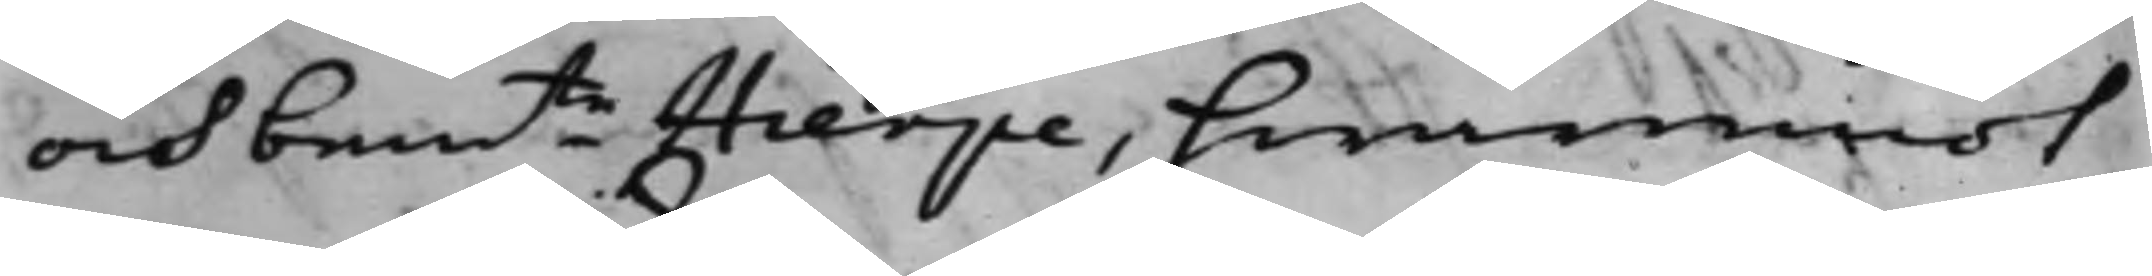och bemte Hierpe, hwaremot
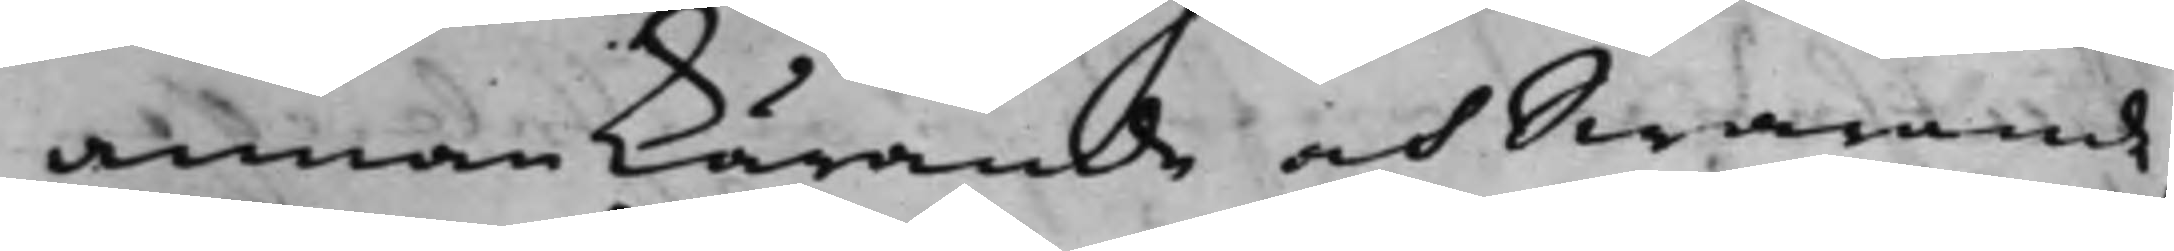annan Kärande och Swarande,
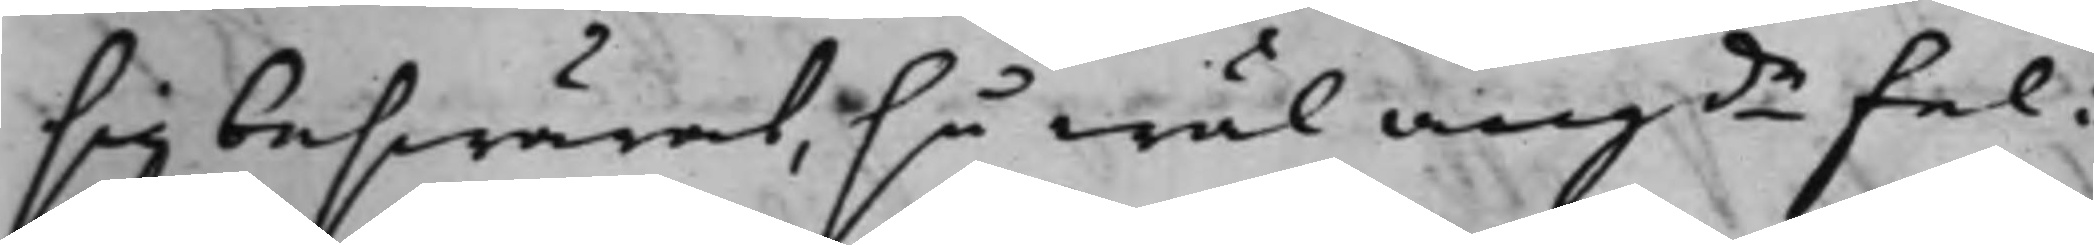sig beswärat, så wäl angde fel i
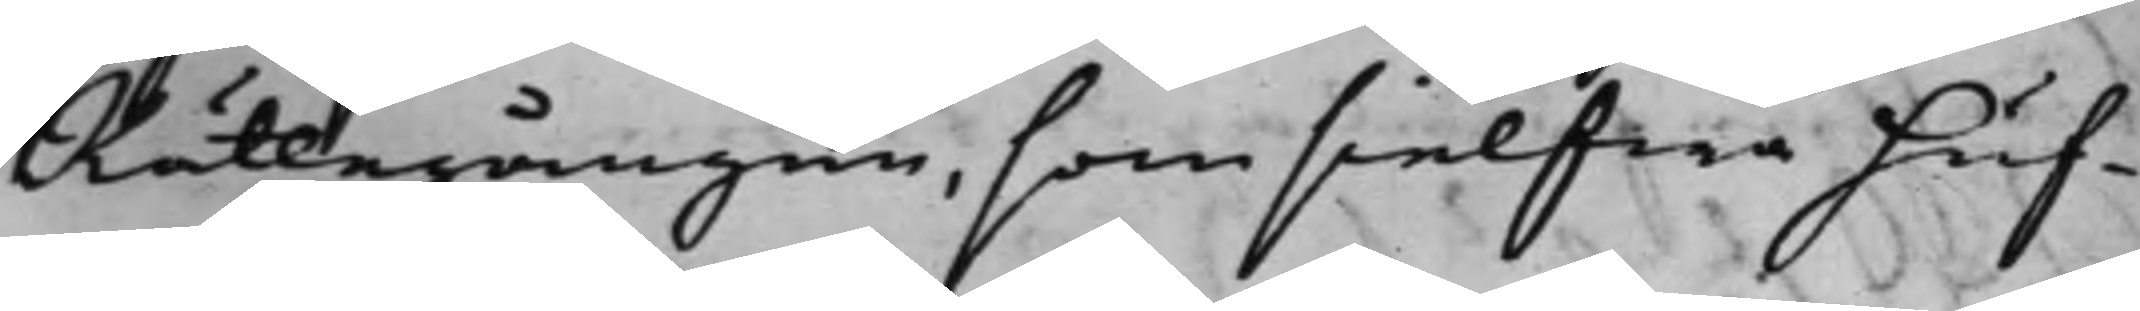Rättegången, som sielfwa huf¬
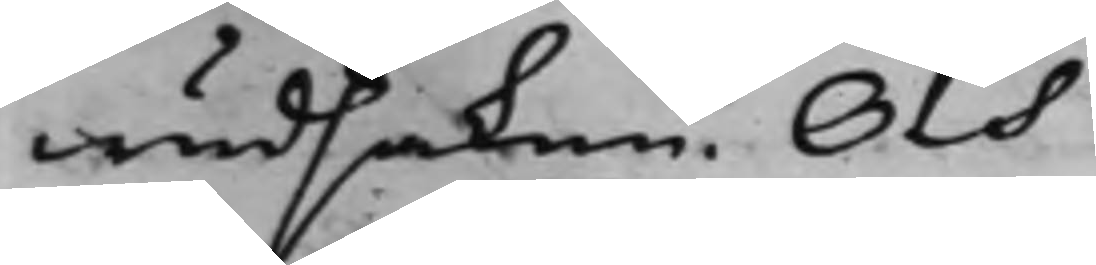wudsaken. Och
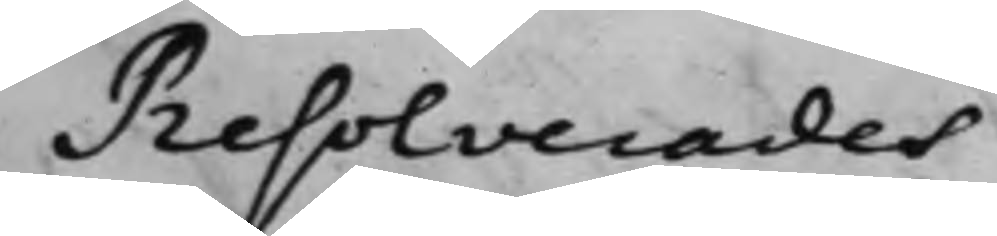Resolverades
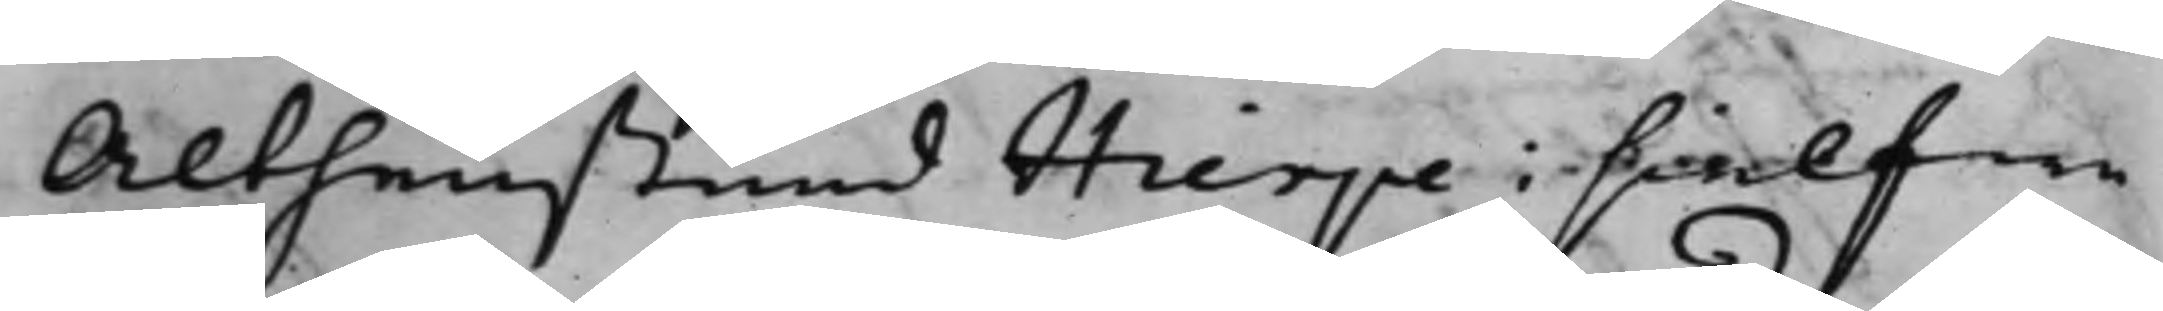Althenstund Hierpe i sielfwa
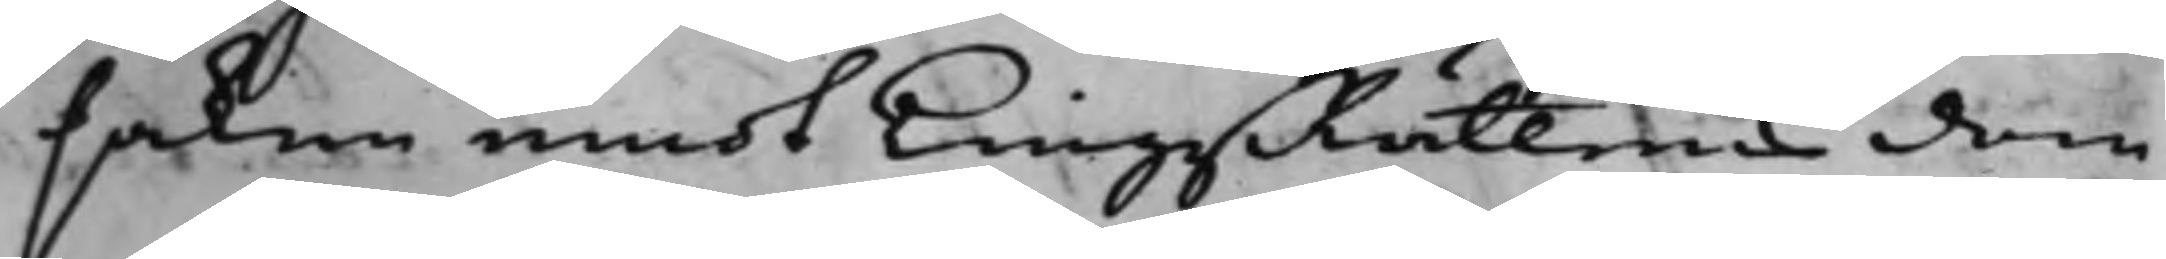saken emot TingzRättens dom
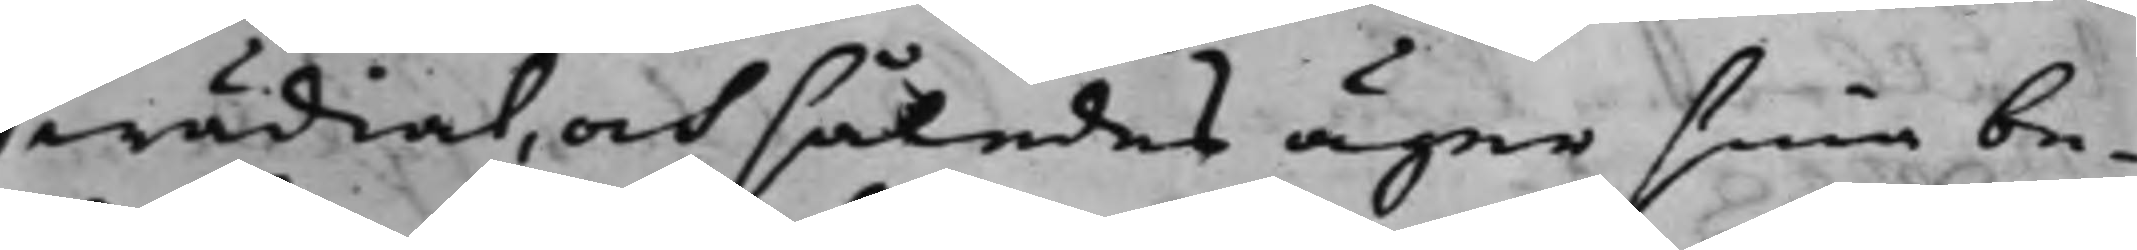wädiat, och således äger sina be¬
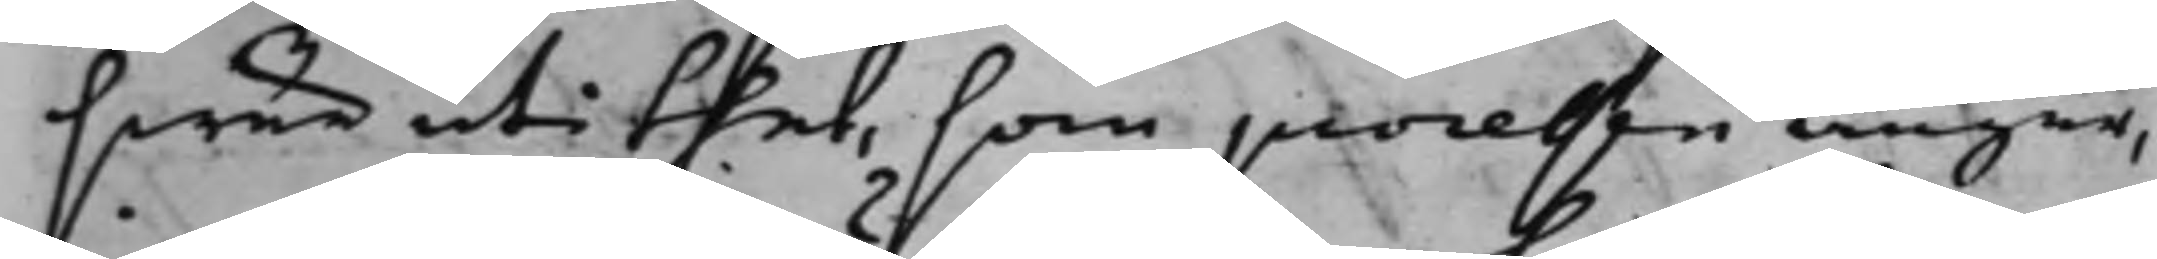swär uti thet, som processen angår,
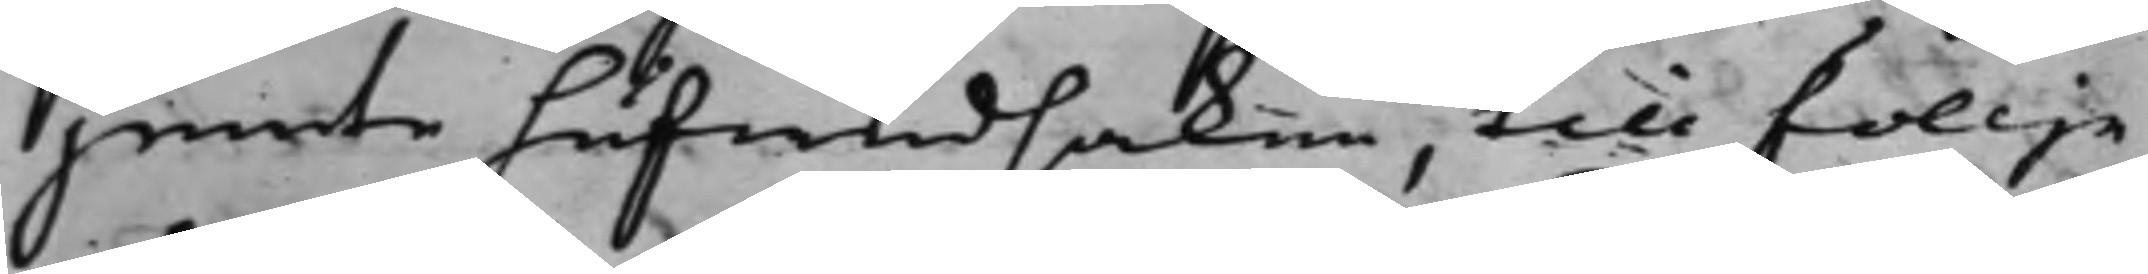jemte hufwudsaken, till föllje
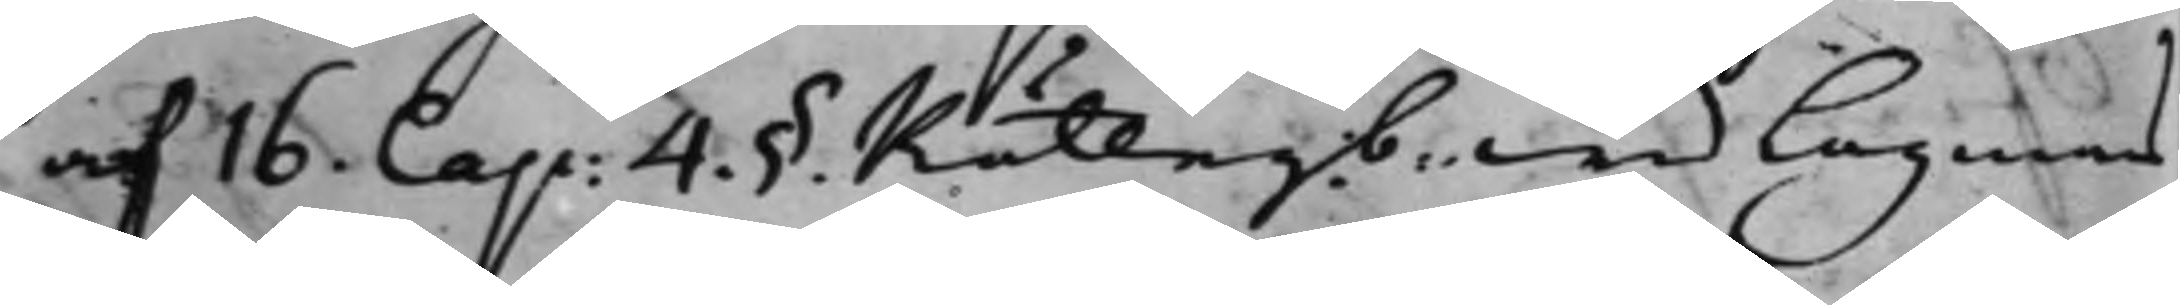af 16. Cap: 4. § Rättegb. wid Lagmans¬
